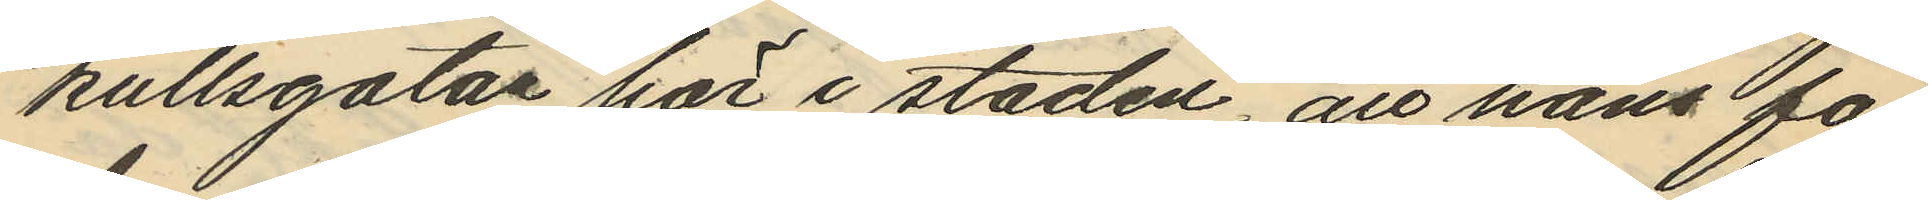kullsgatan här i staden, att hans fa¬
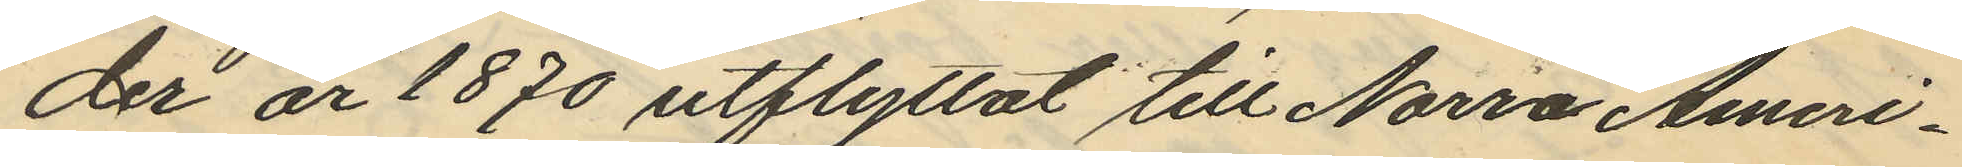der år 1870 utflyttat till Norra Ameri¬
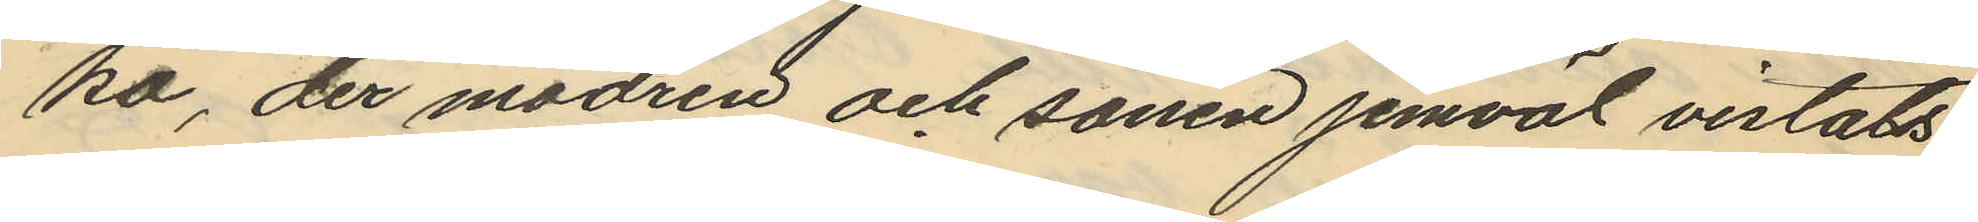ka, der modren och sonen jemväl vistats
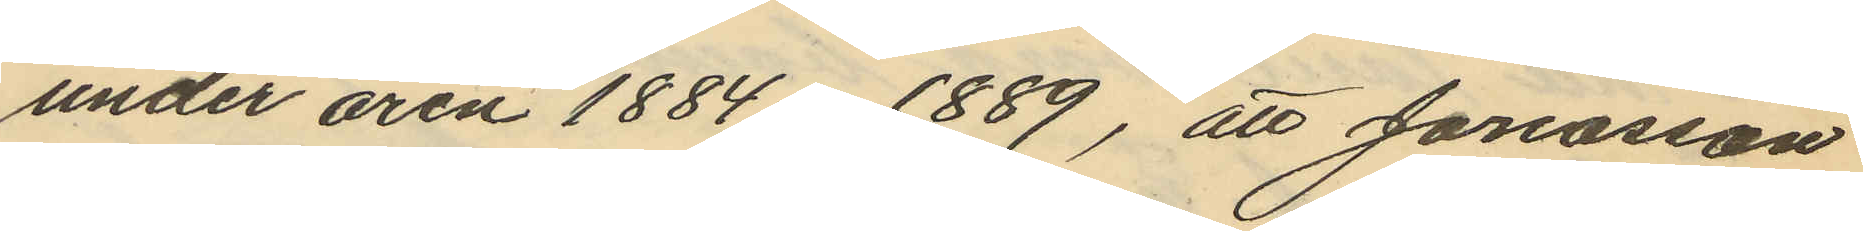under åren 1884-1889, att Jonasson
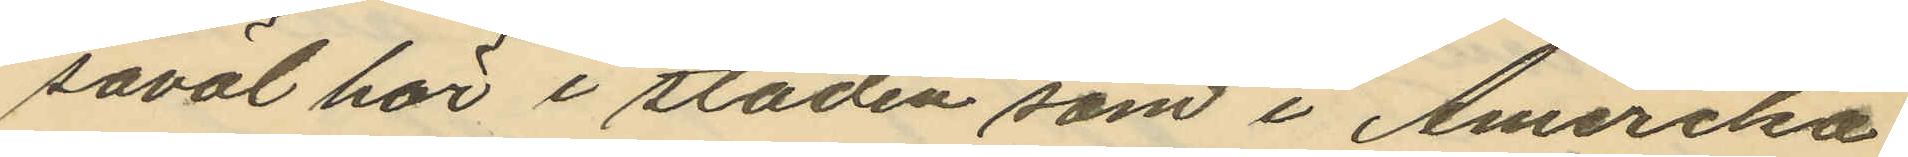såväl här i staden som i Amerika
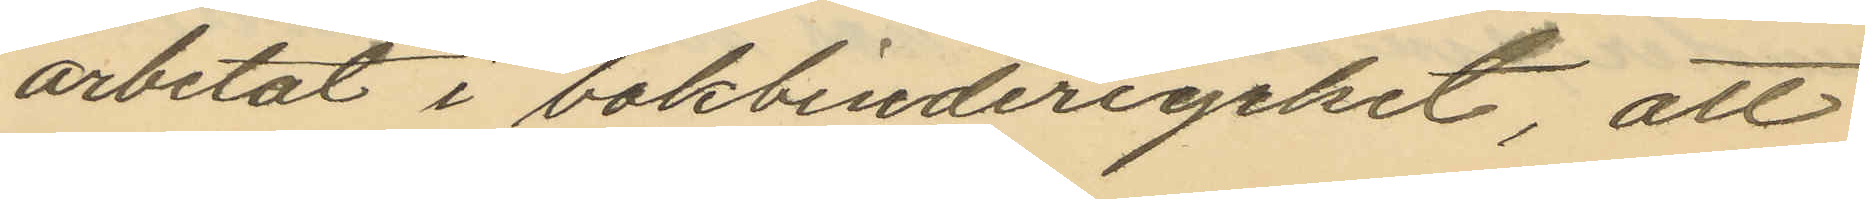arbetat i bokbinderiyrket, att
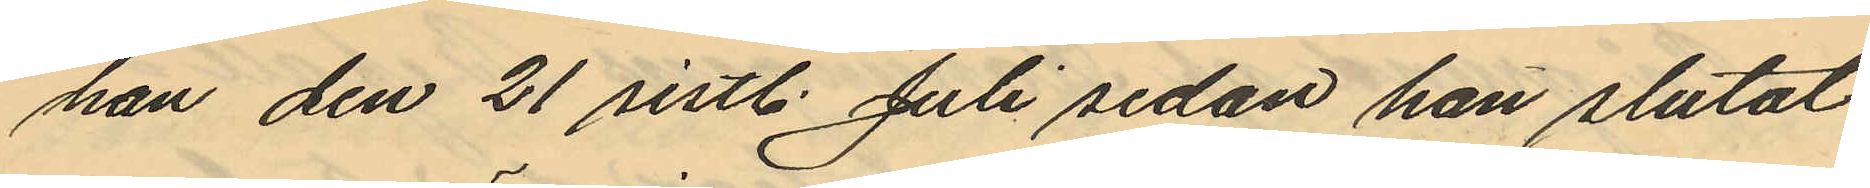han den 21 sistl. Juli sedan han slutat
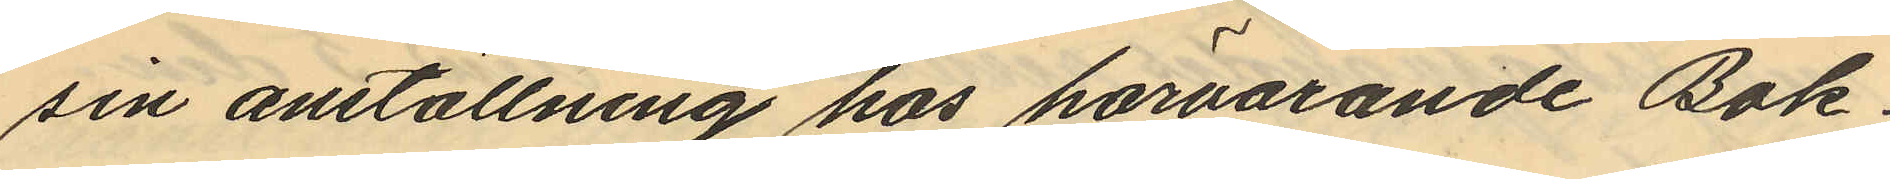sin anställning hos härvarande Bok¬
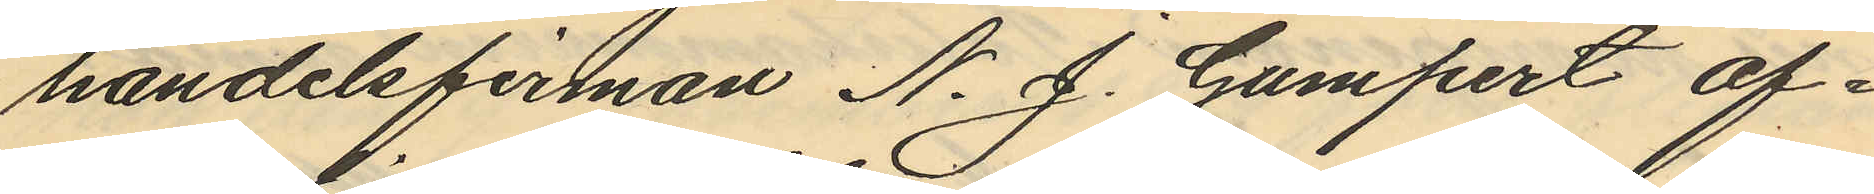handelsfirman N. J. Gumpert af¬
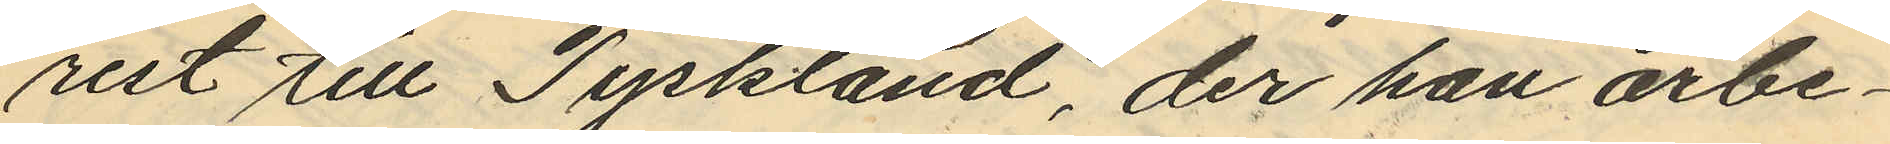rest till Tyskland, der han arbe¬
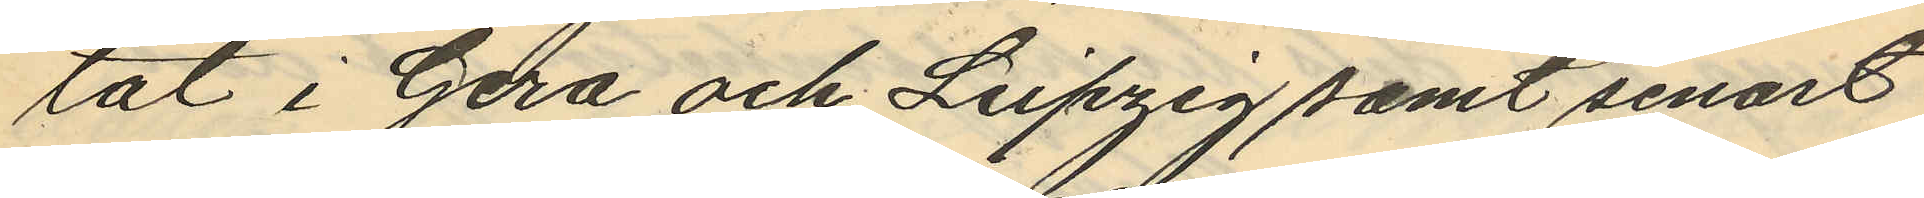tat i Gera och Leipzig samt senast
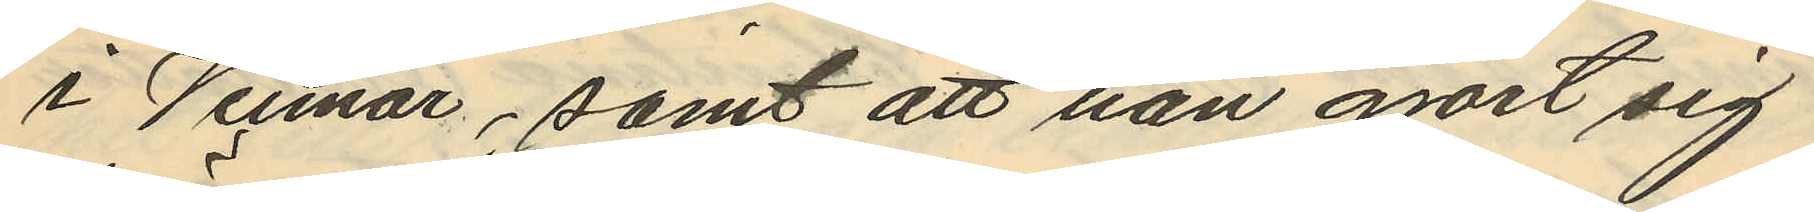i Veimar, samt att han gjort sig
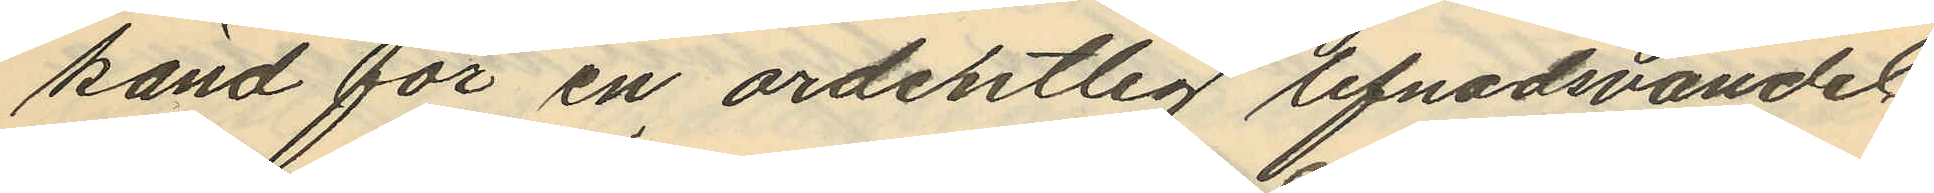känd för en ordentlig lifnadsvandel.
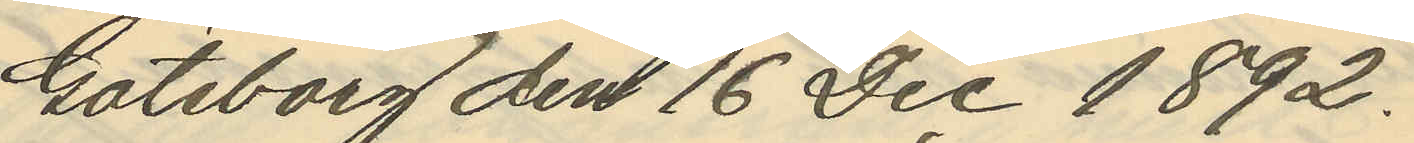Göteborg den 16 Dec 1892.
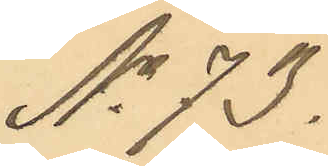No 73.
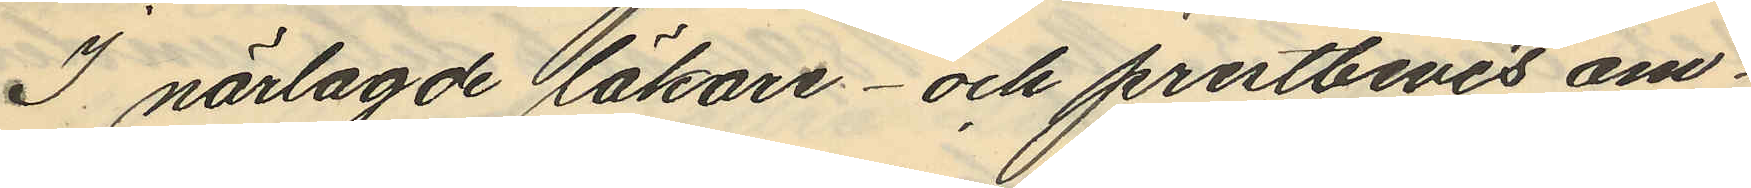I närlagde läkare- och prestbevis om¬
